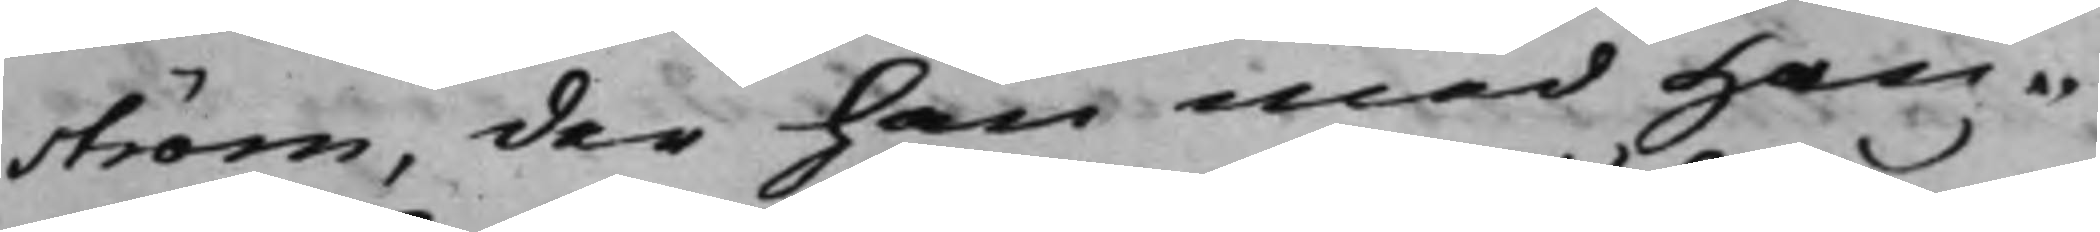ström, der han med Han¬
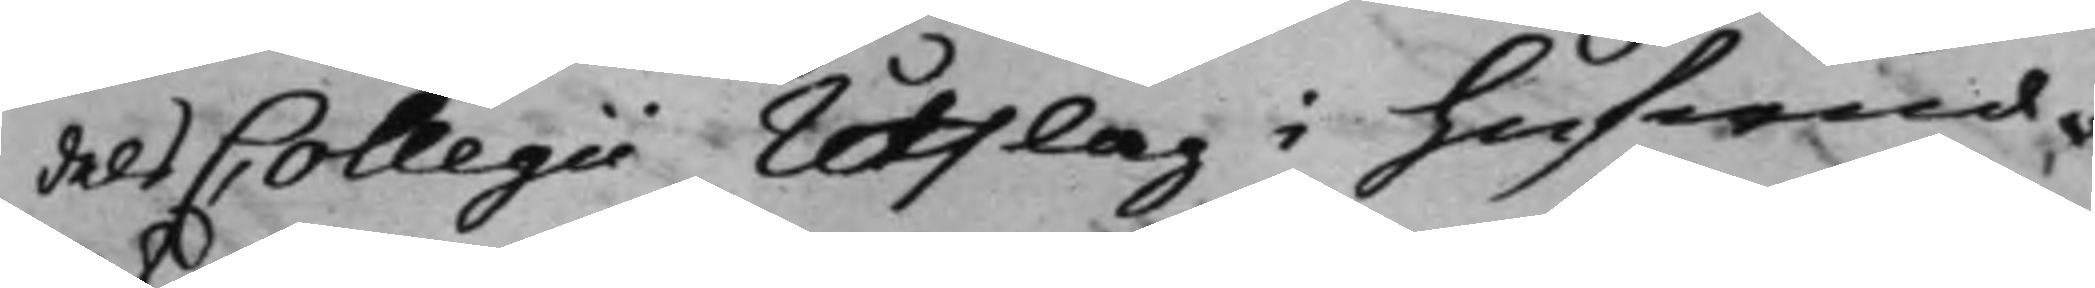dels Collegii Utslag i hufwud¬
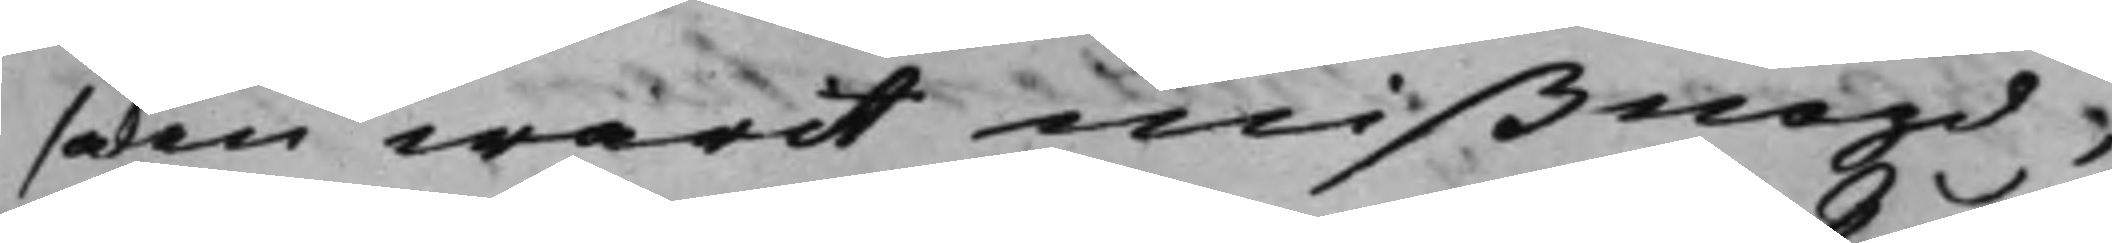saken warit mißnögd;
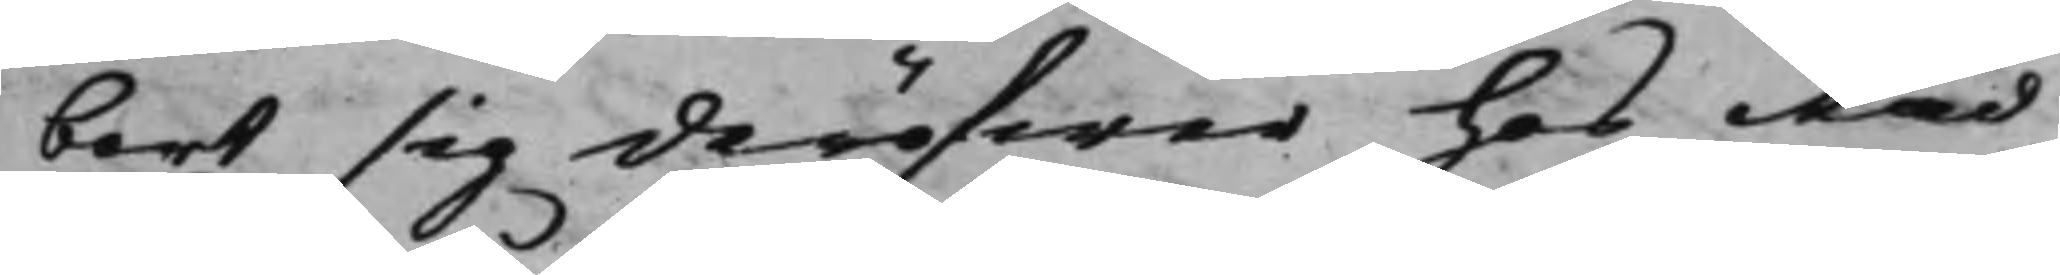bort sig deröfwer hos Råd¬
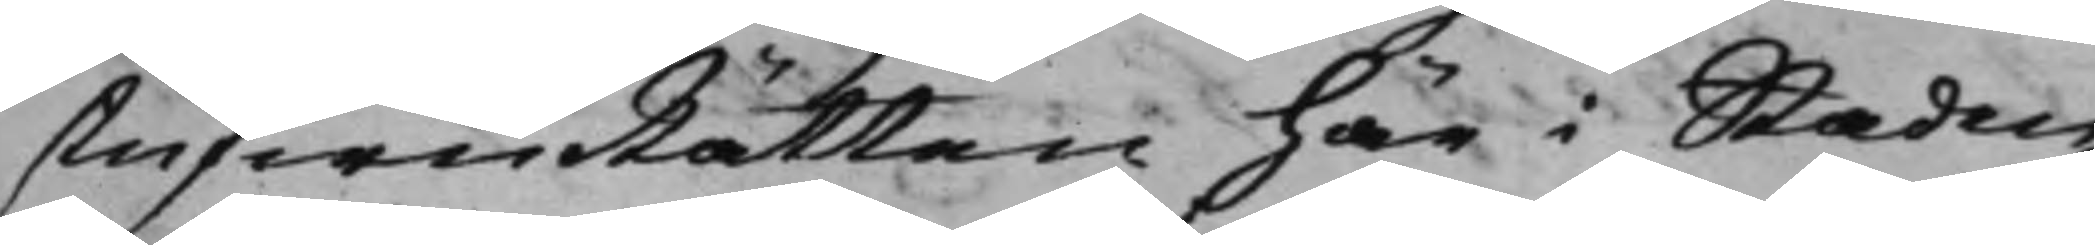stufwuRätten här i Staden
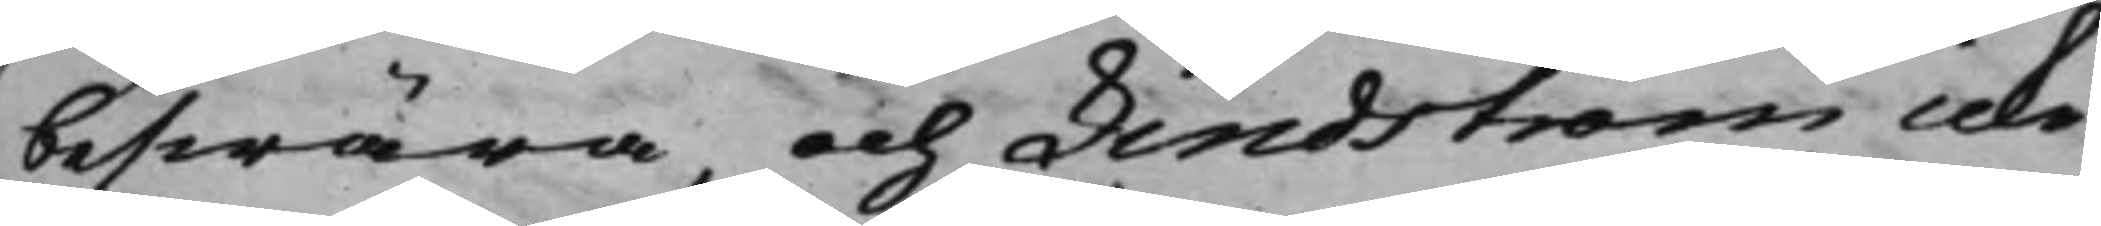beswära, och Lindström icke
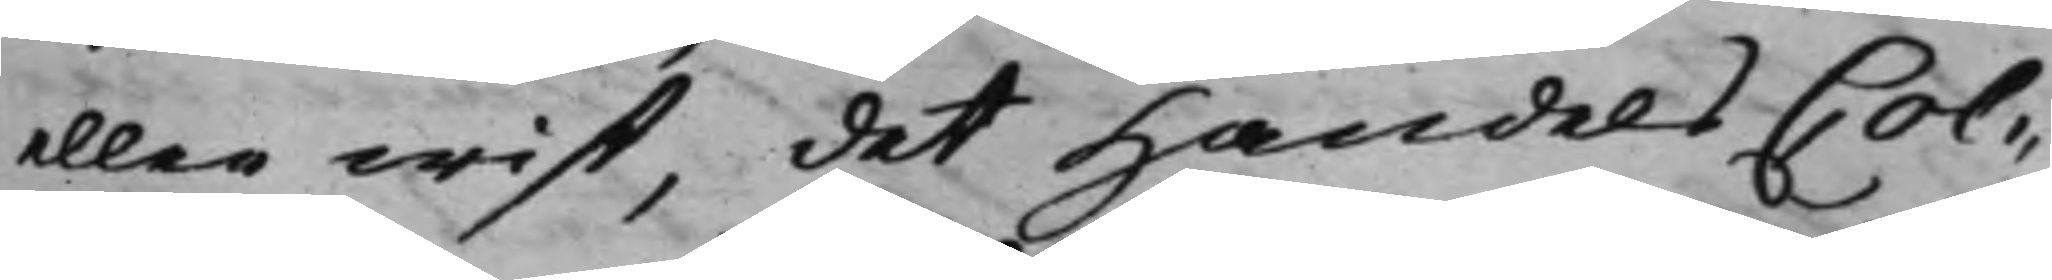eller wist, det Handels Col¬
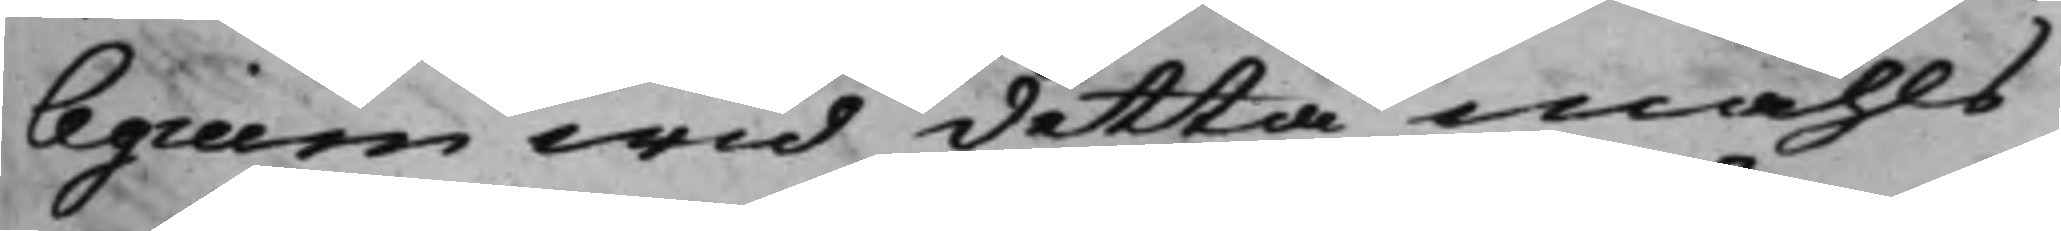legium wid detta måhls
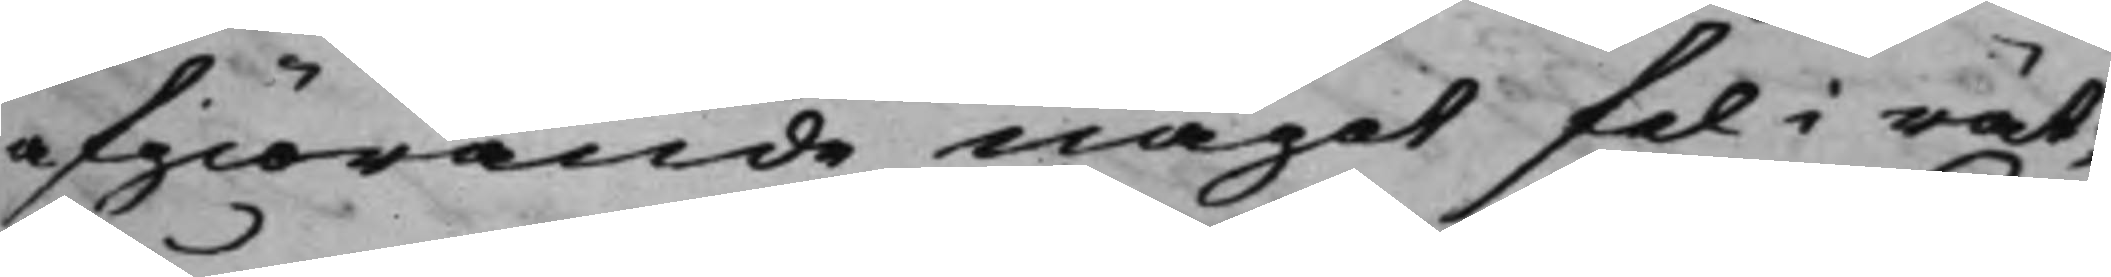afgiörande något fel i rät¬
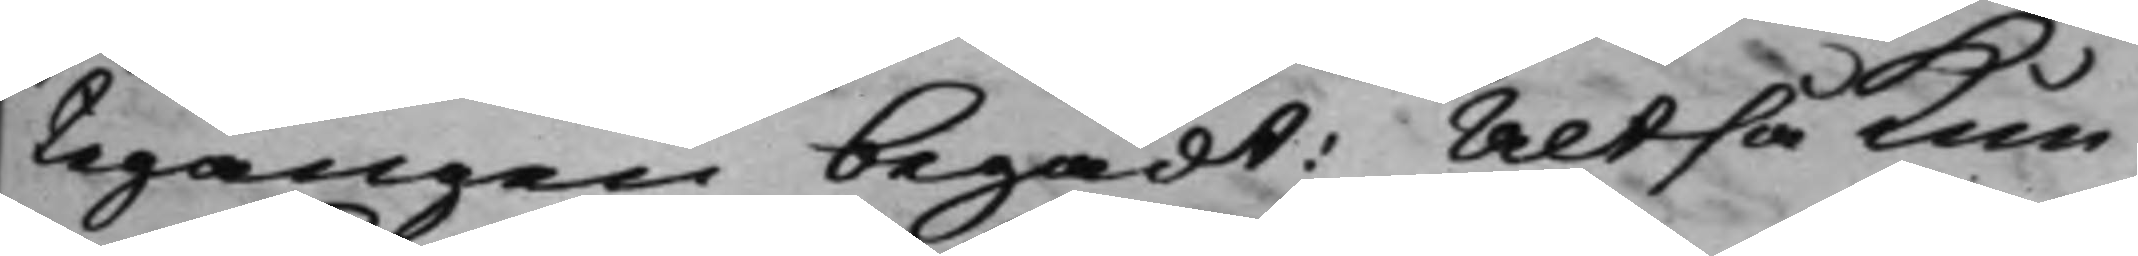tegången begådt: Altså Kun¬
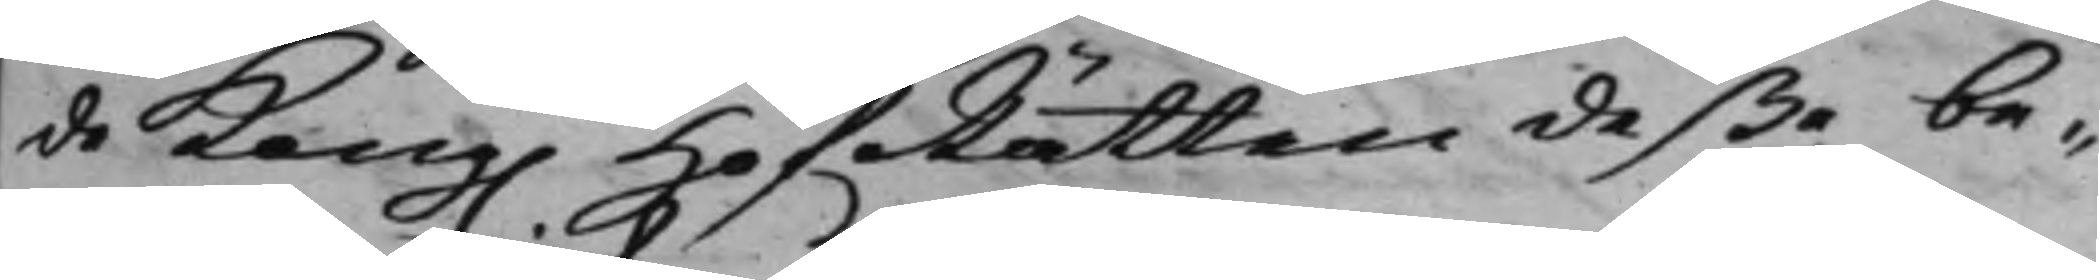de Kong. HofRätten deße be¬ 
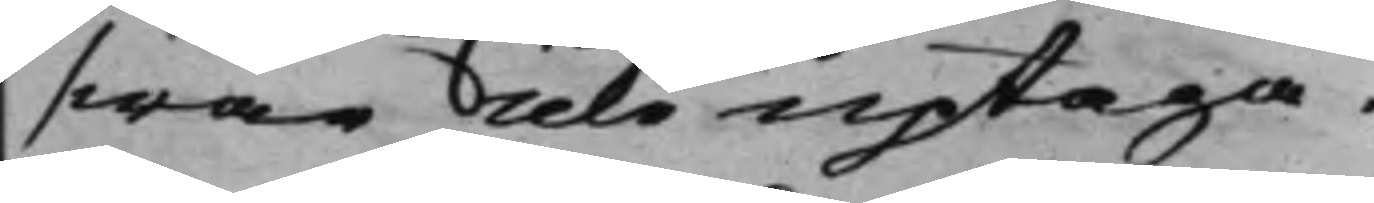swär icke uptaga.
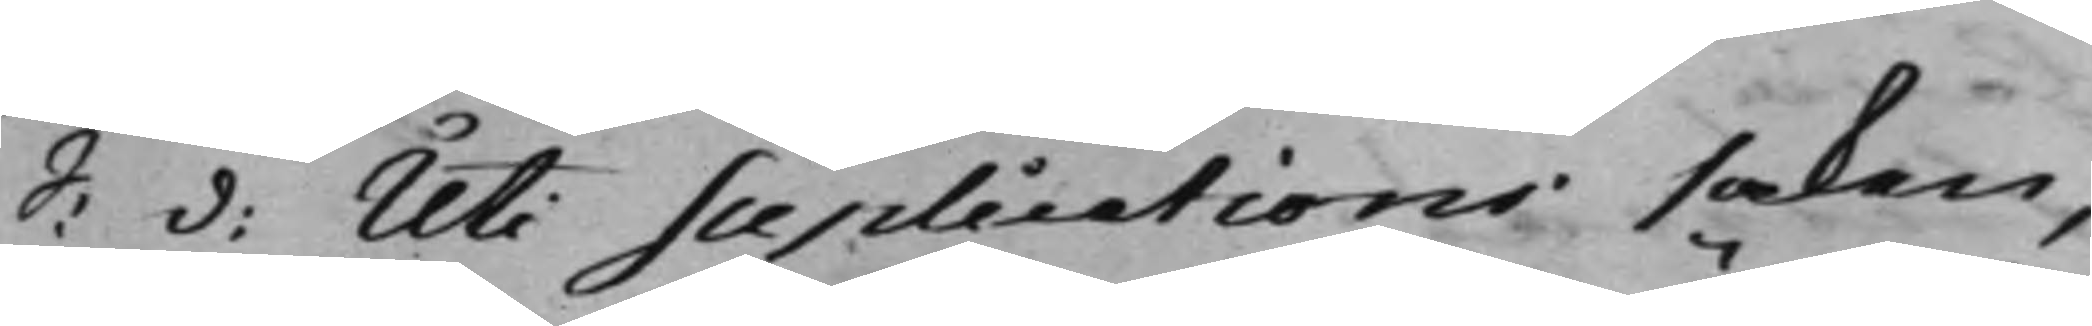S: d: Uti Suplications saken, 
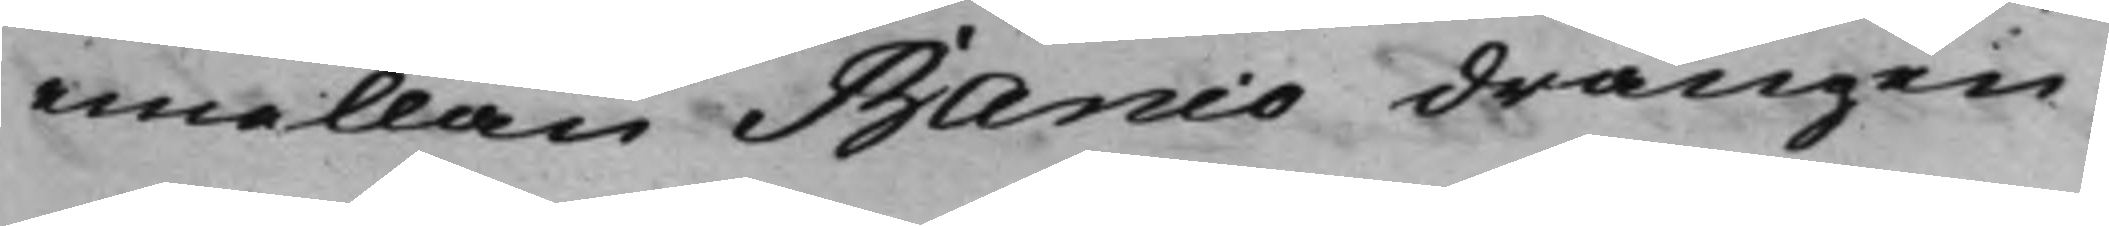emellan Banco drängen
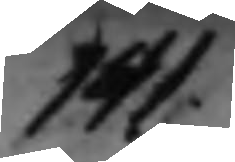141.
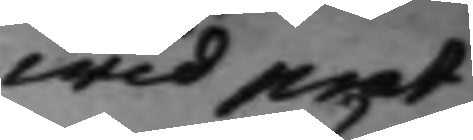Wid prot
